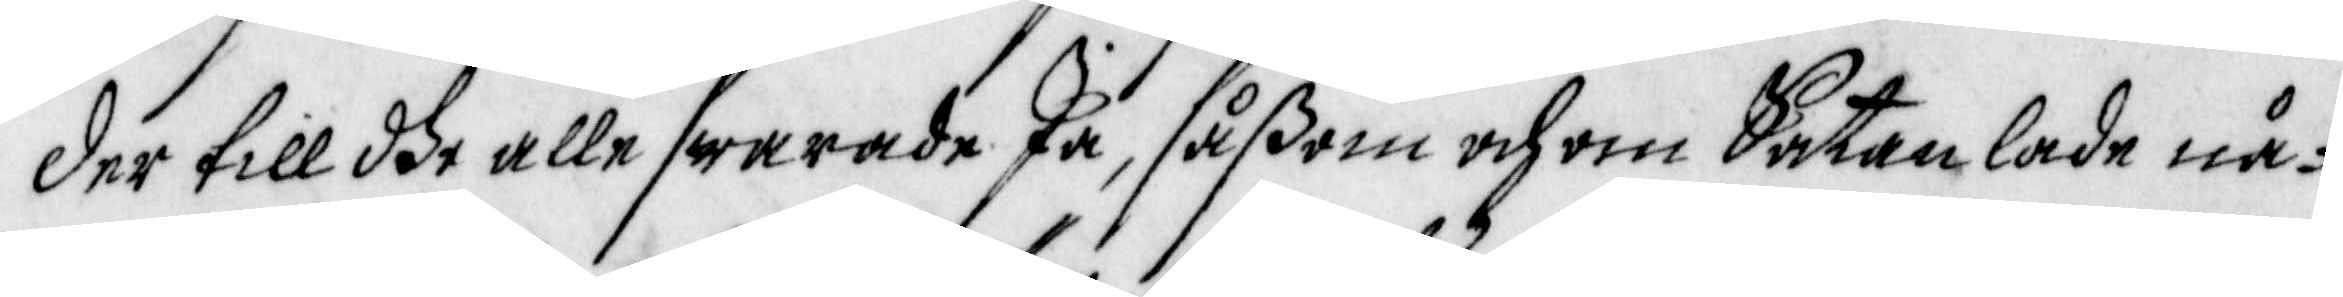Der till dhe alle swarade Ja, såßom och om Satan lade nå¬
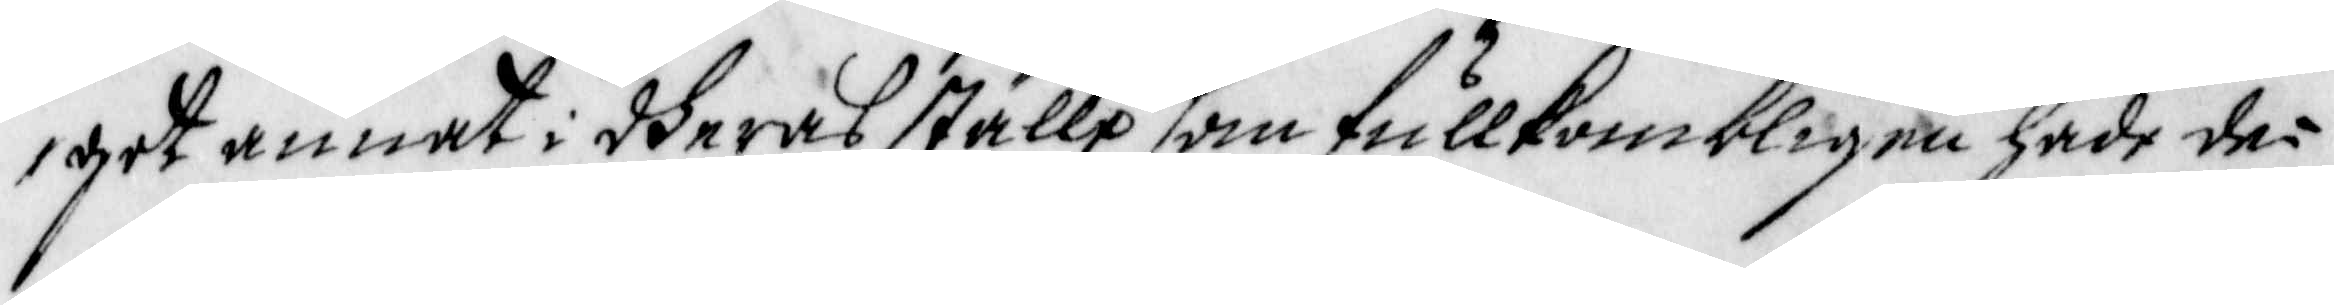got annat i dheras ställe som fullkombligen hade de¬
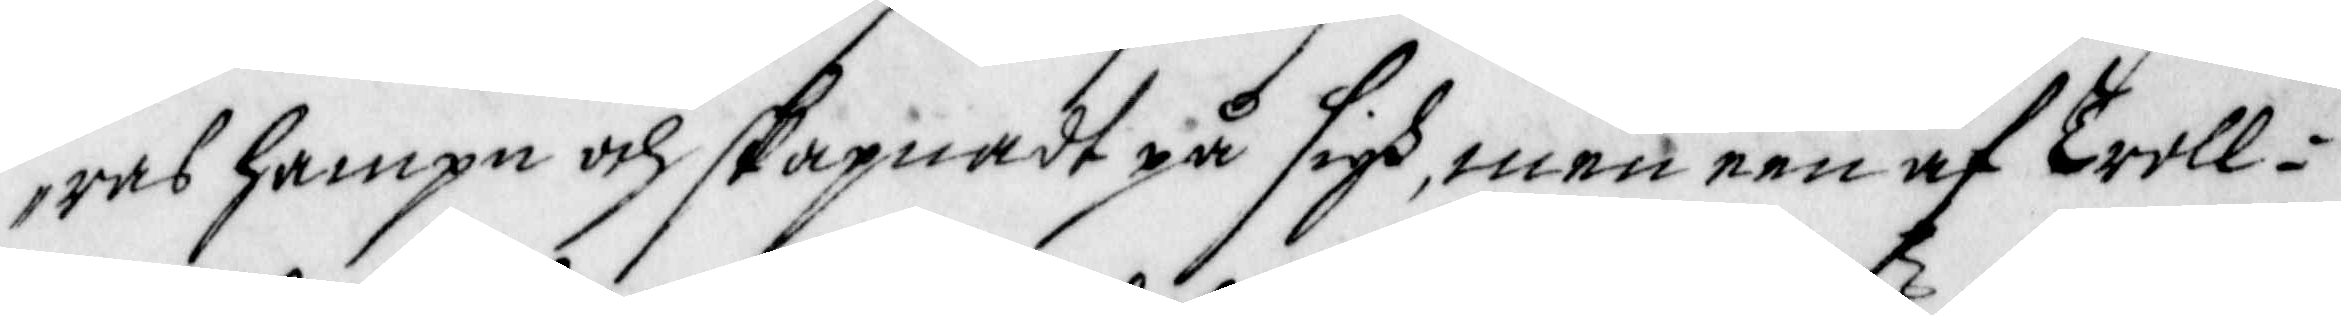ras hampn och skapnadt på sigh, man een af Troll¬
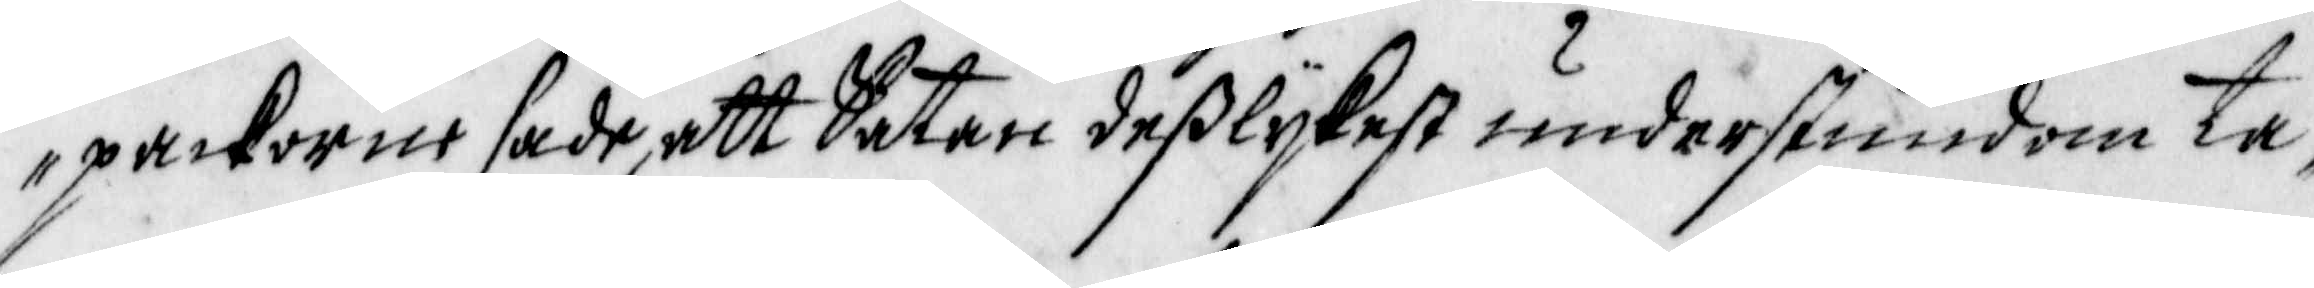packorne sade, att Satan deßlykest understundom ta¬
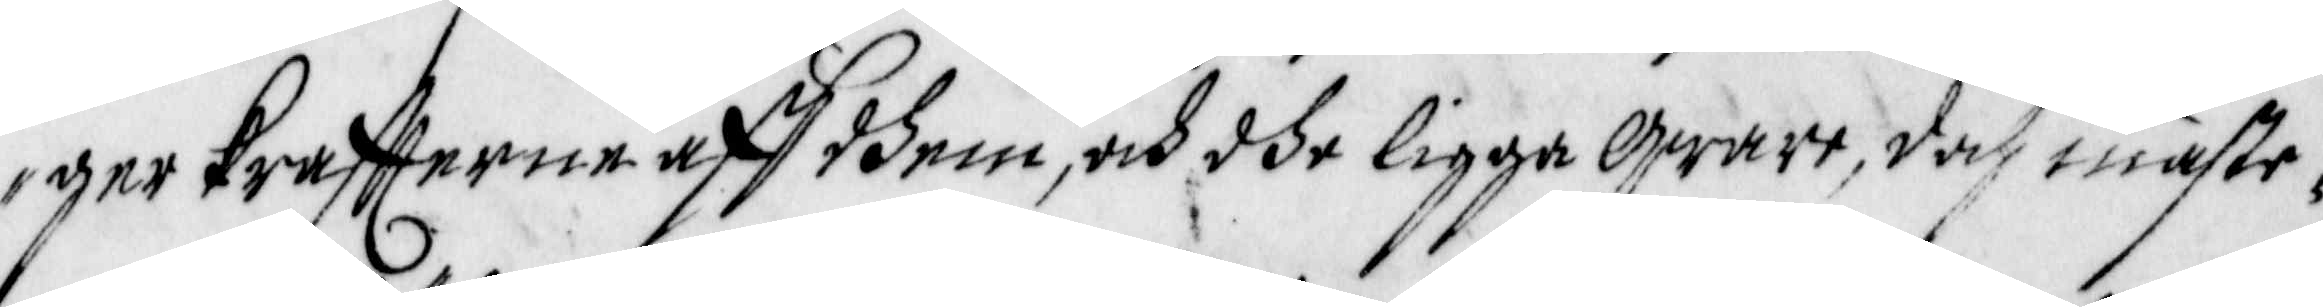iger kraffterne aff dhem, och dhe ligga qware, doch mäste¬
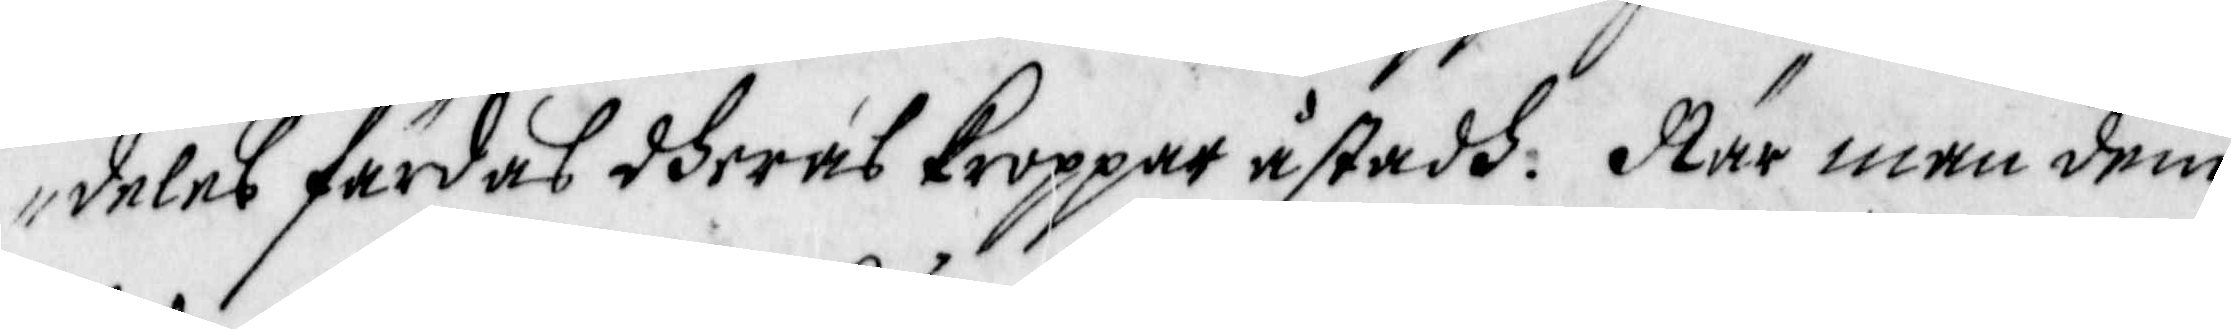deles färdas dheras kroppar åstadh. När men dem
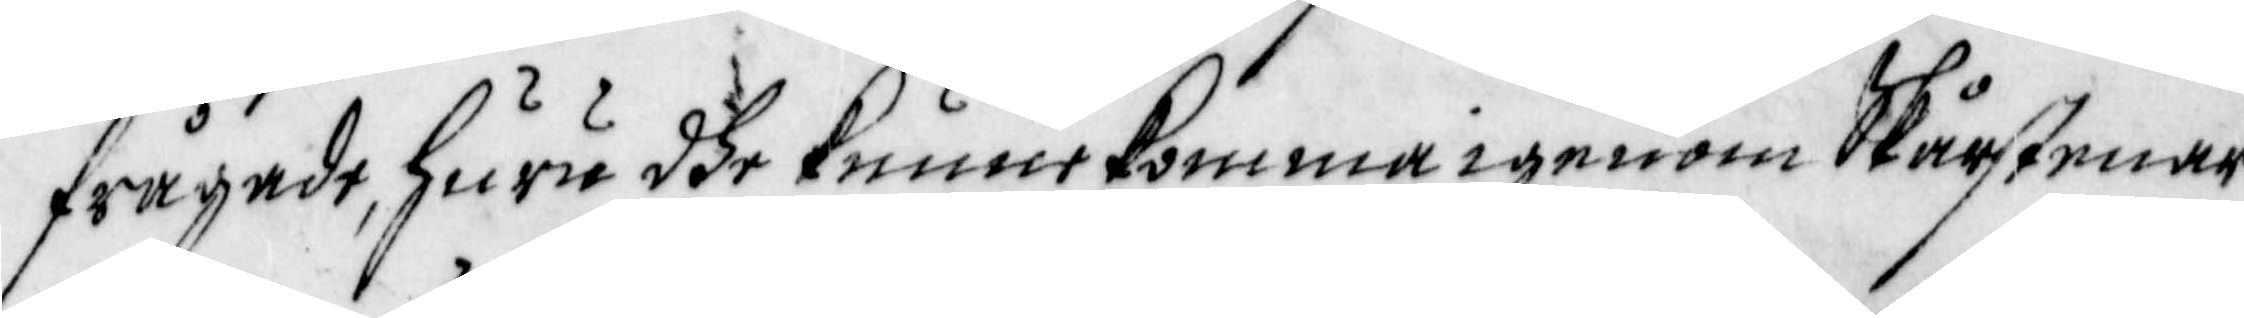frågade, huru dhe kunne komma igenom Skårstenar
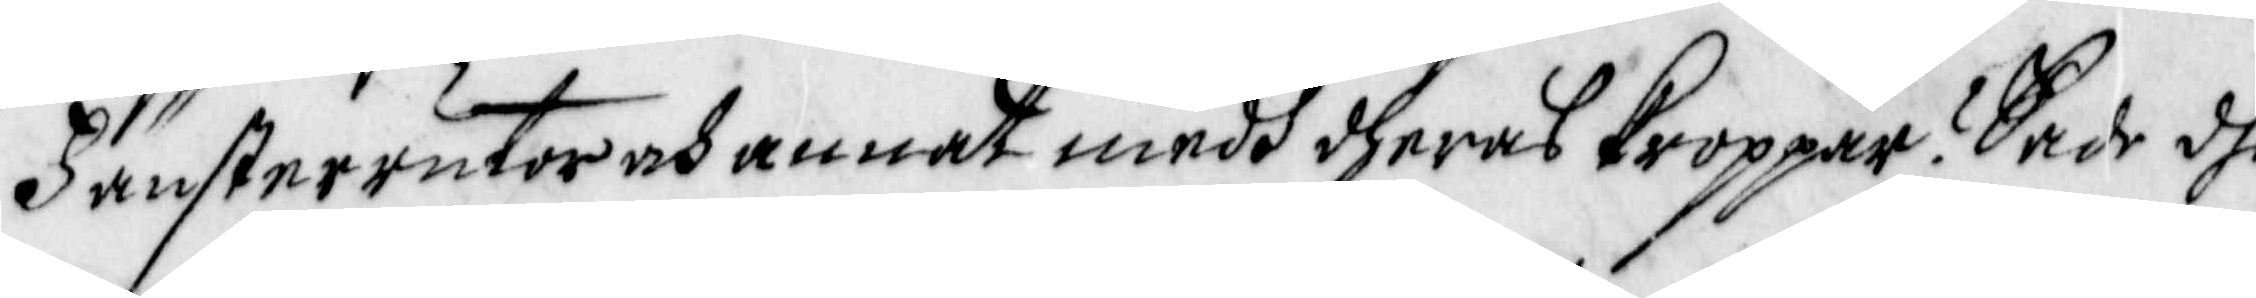Fänsterrutor och annat medh dheras kroppar? Sade dhe
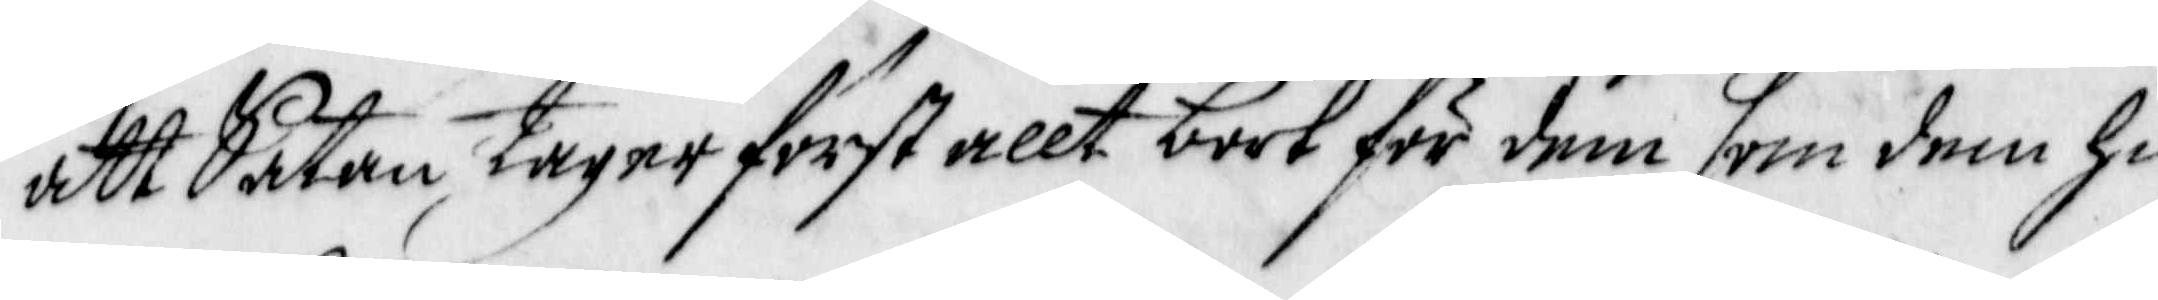att Satan tagar först allt bort för dem som dem hin¬
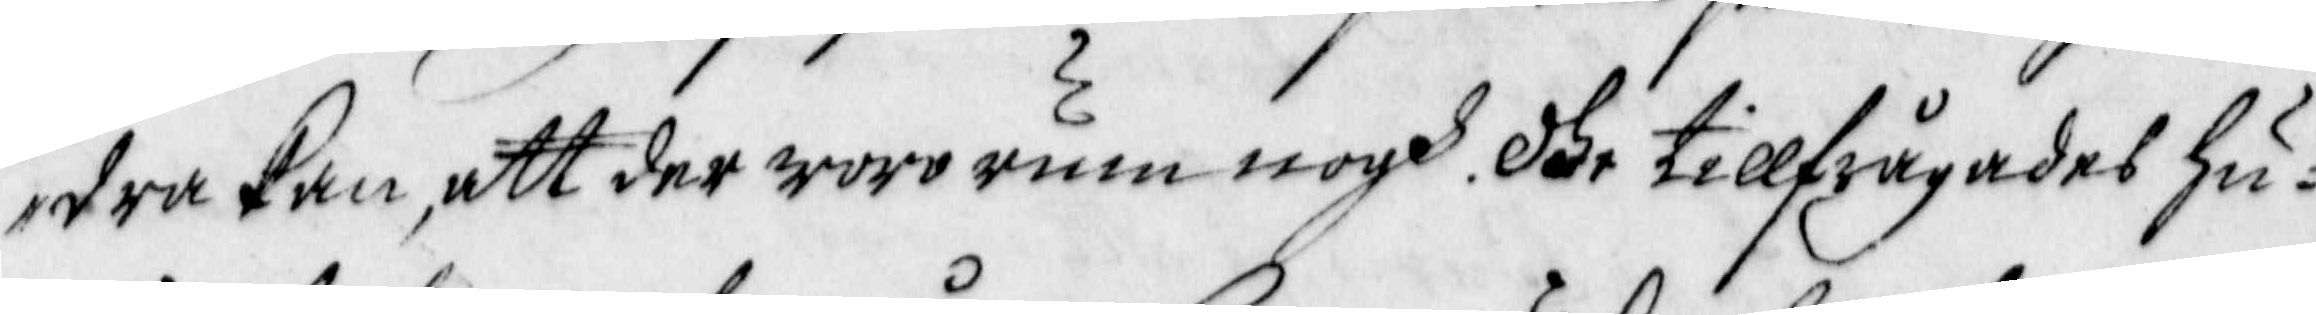dra kan, att der woro rum nogh. Dhe tillfrågades Hu¬
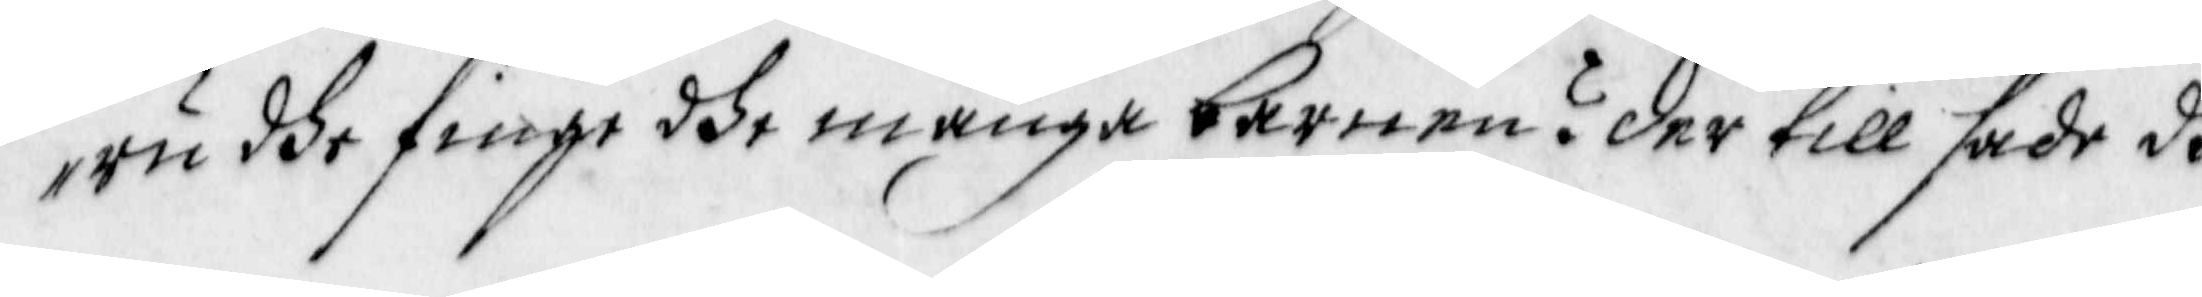ru dhe finge dhe många barnen? Der till sade dhe
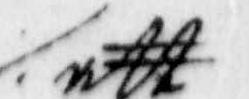att
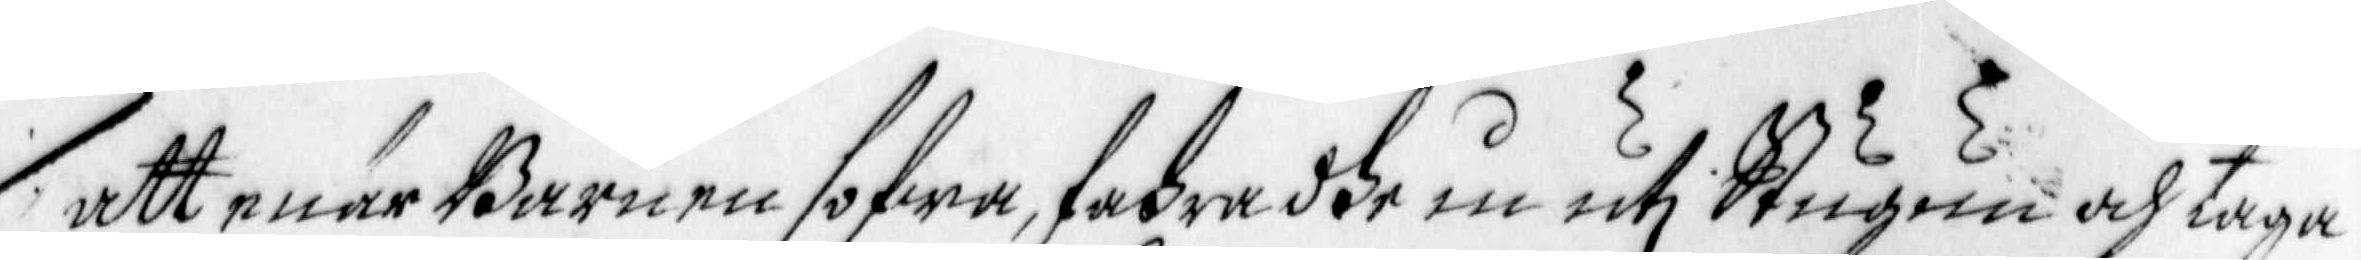att enär Barnen sofwa, fahra dhe in uti Stugun och taga
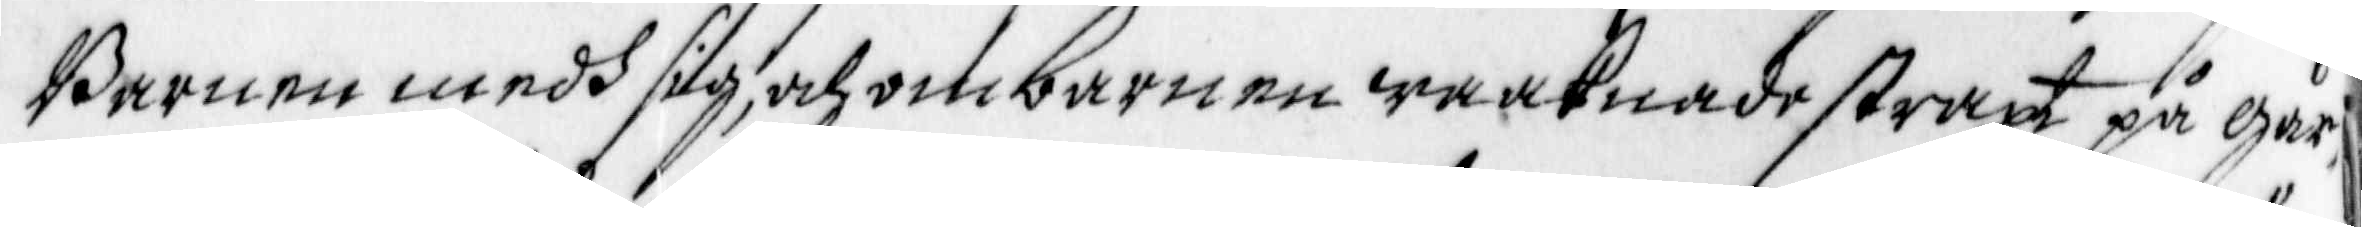Barnen medh sig, och om barnen waaknade straxt på går¬
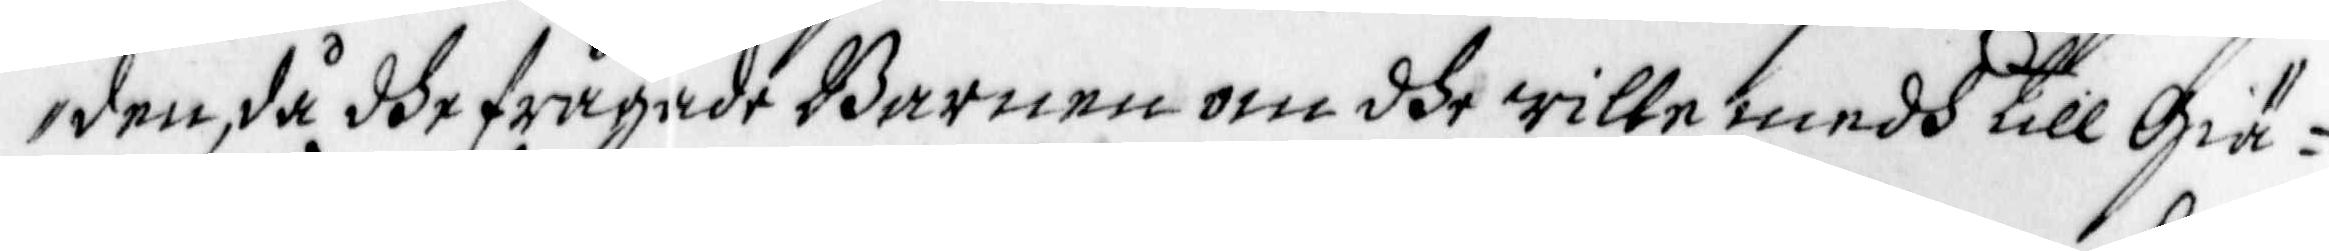den, då dhe frågade Barnen om dhe wille medh till Giä¬
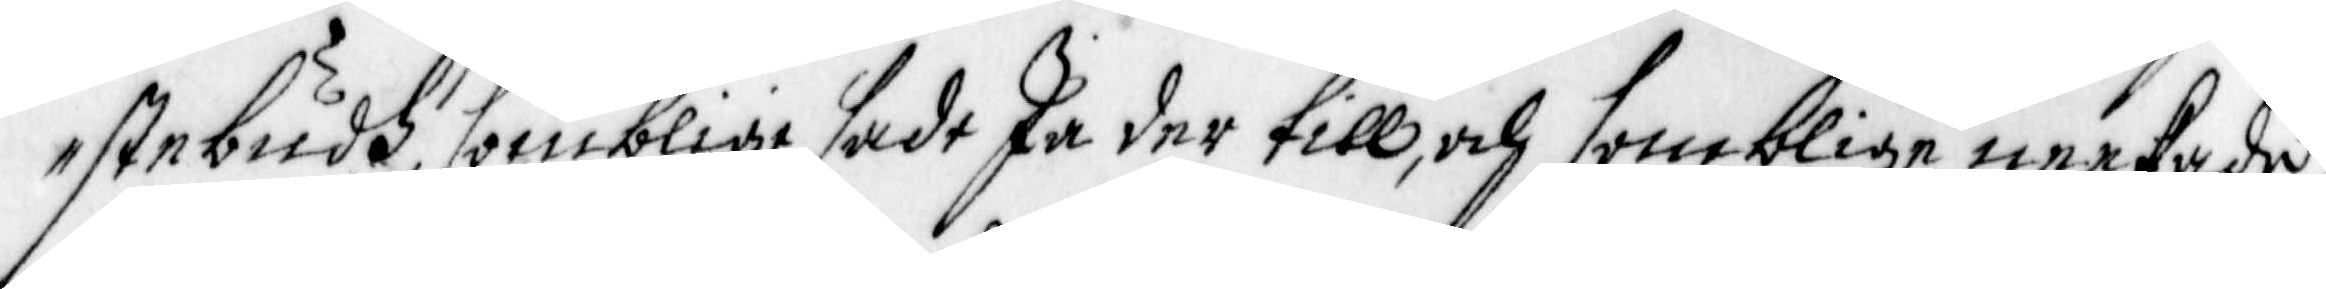stebudh, somblige sade Ja der till, och somblige neekade,
